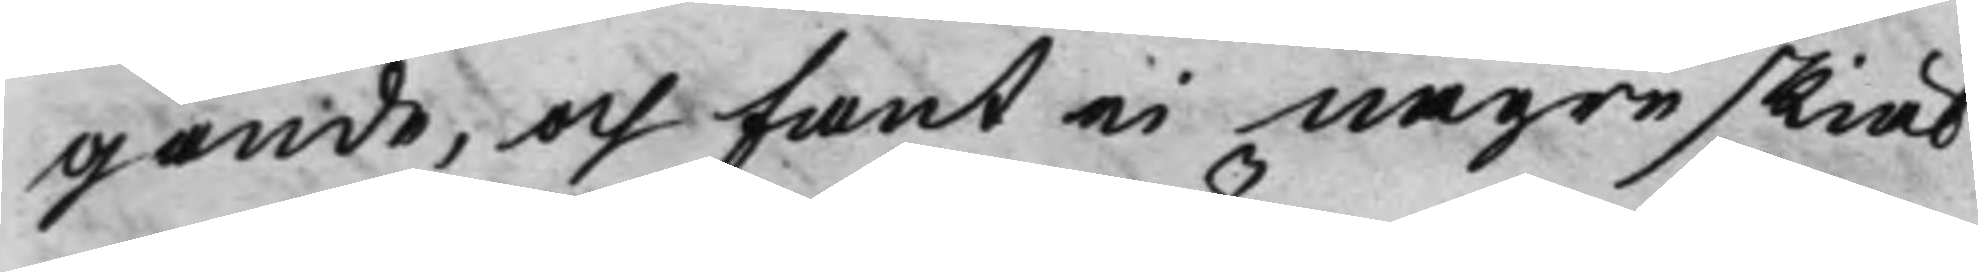gande, och fant ei någre skiäl
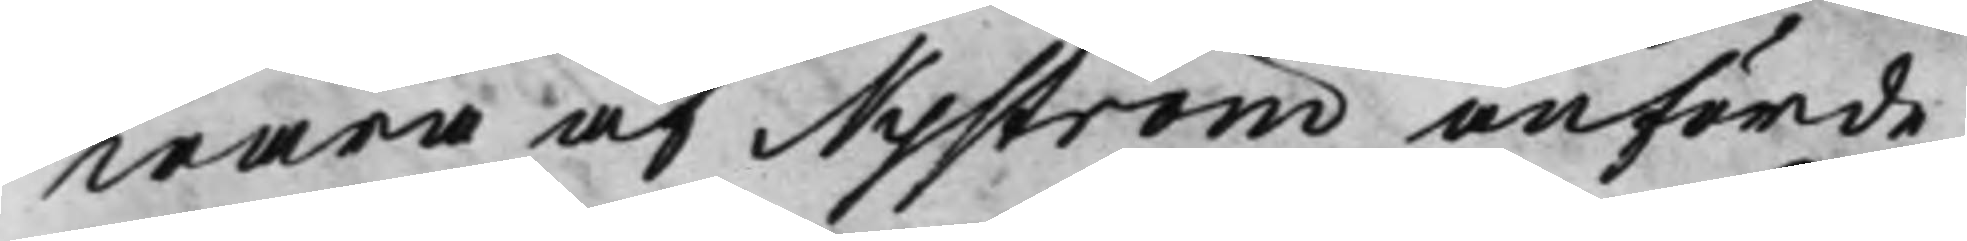wara af Nyström anförde,
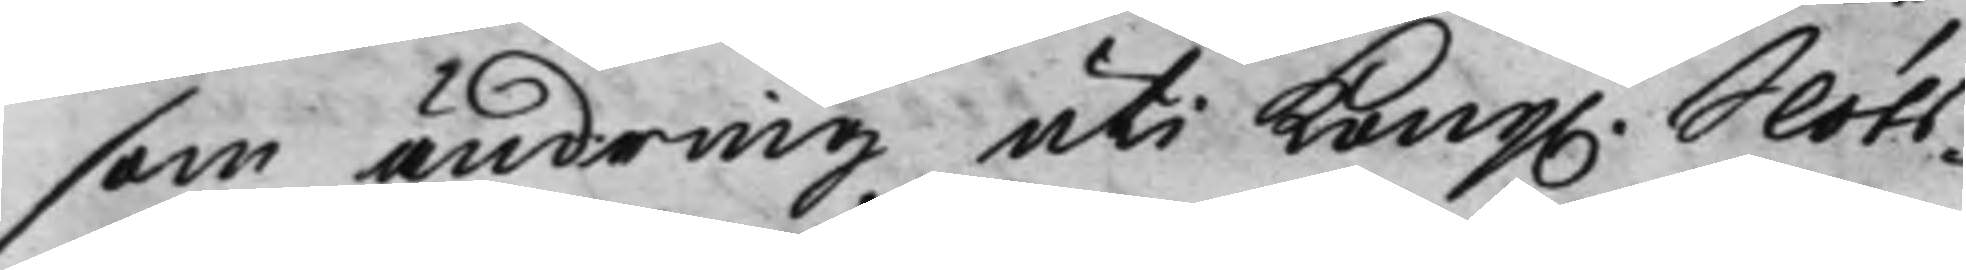som ändring uti Kong. Slots¬ 
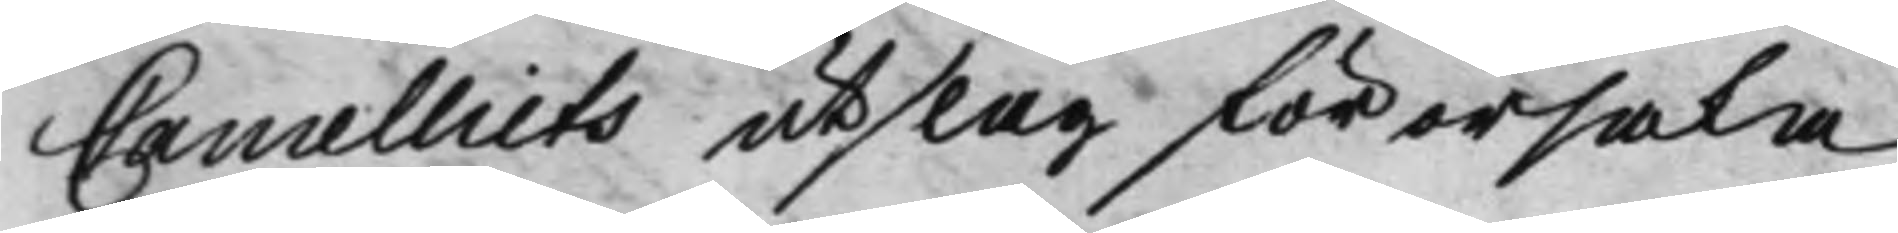Cancelliets utslag förorsaka
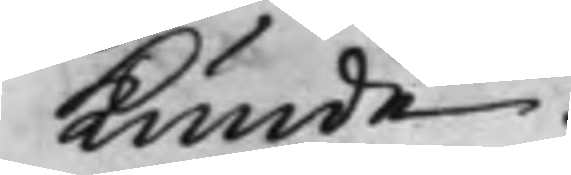Kunde.
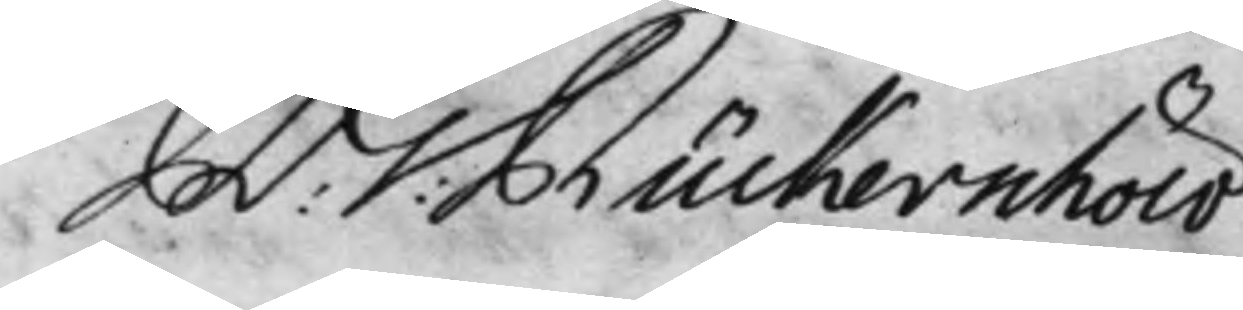R: G: Rückerschöld 
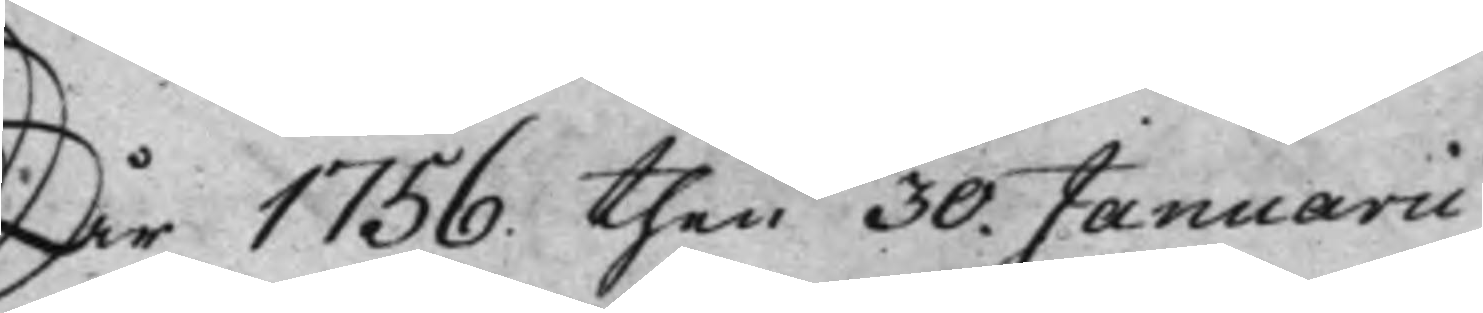År 1756. then 30. Januarii
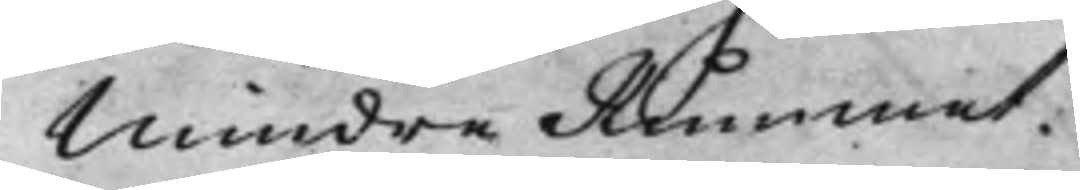Mindre Rummet.
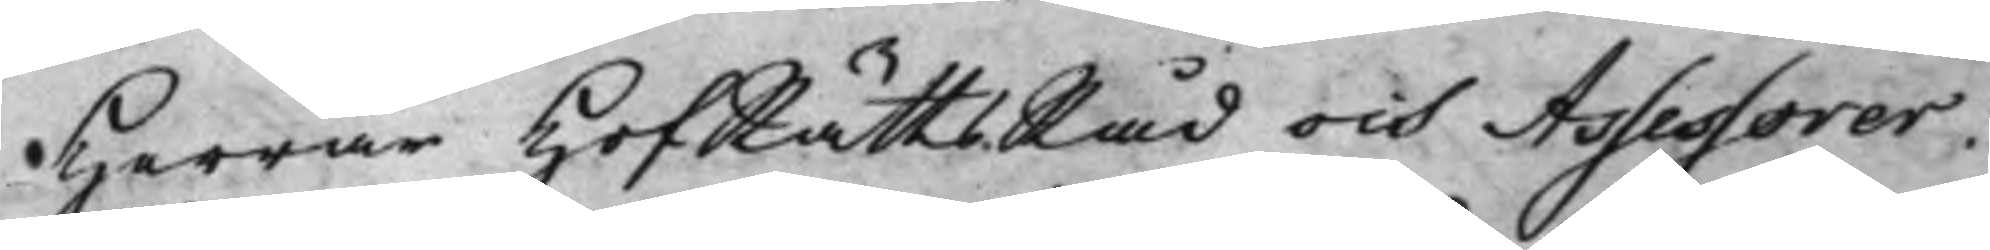Herrar HofRättsRåd och Assessorer.
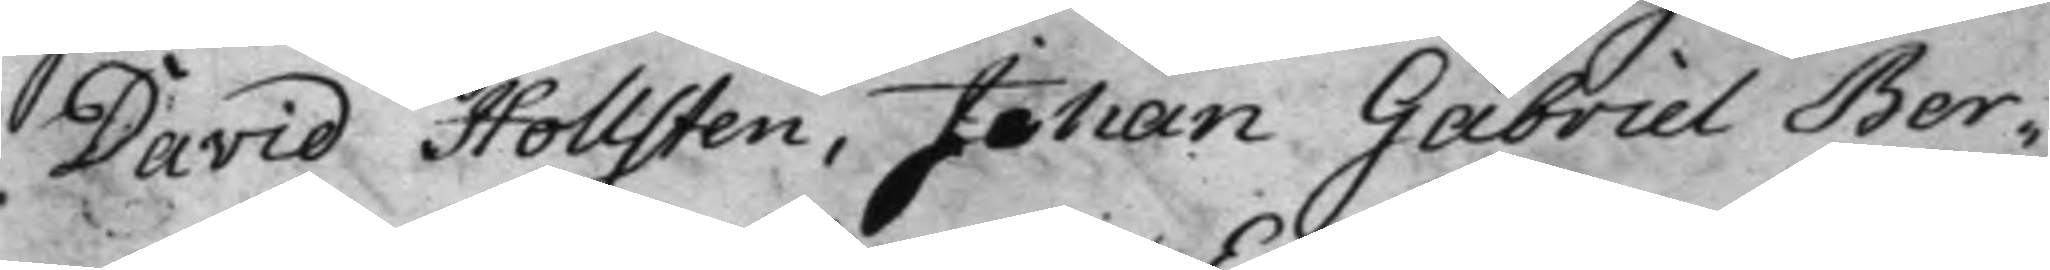David Hollsten, Johan Gabriel Ber¬
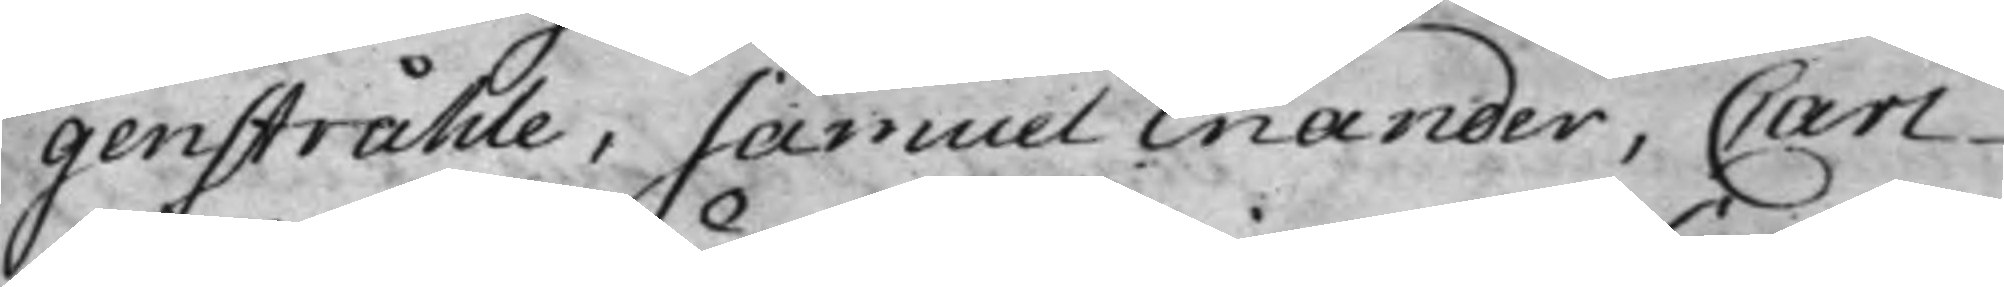genstråhle, Samuel Enander, Carl
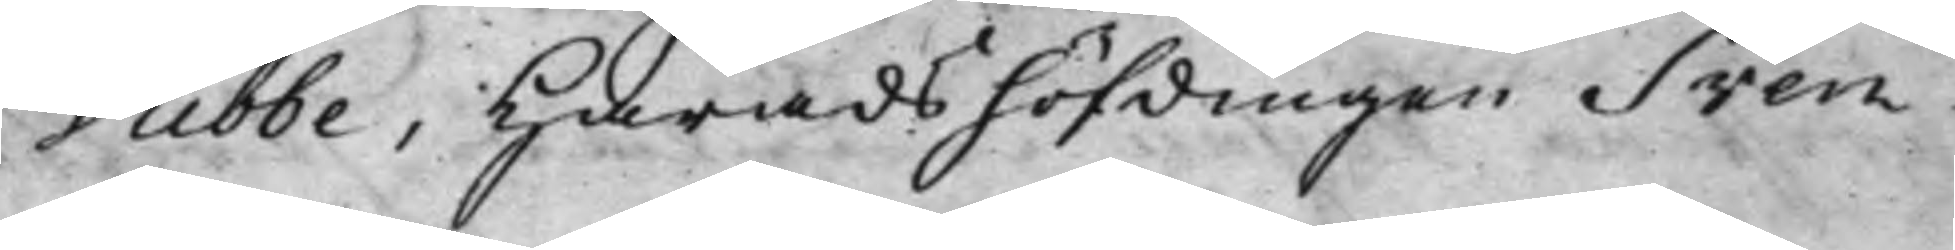Dubbe, Häradshöfdingen Sven
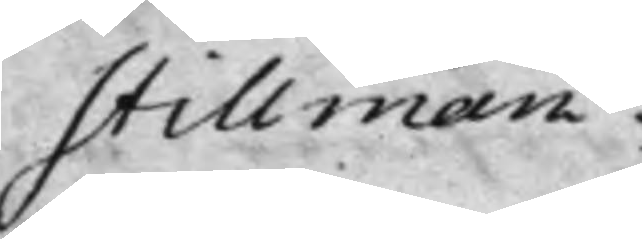Stillman.
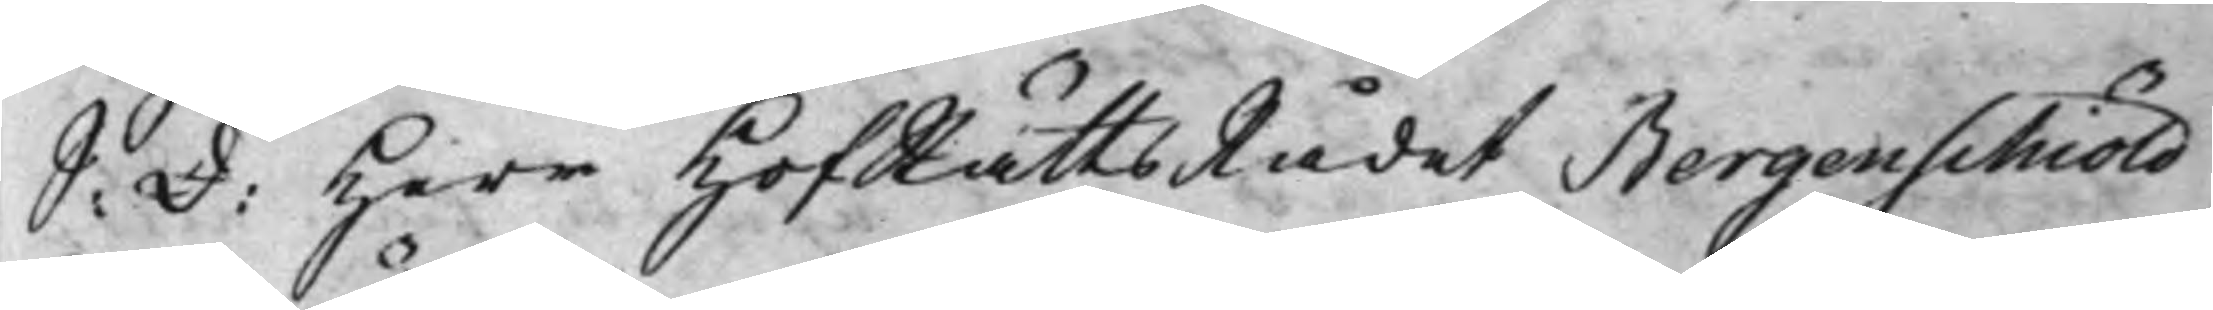S: d: Herr HofRättsRådet Bergenschiöld 
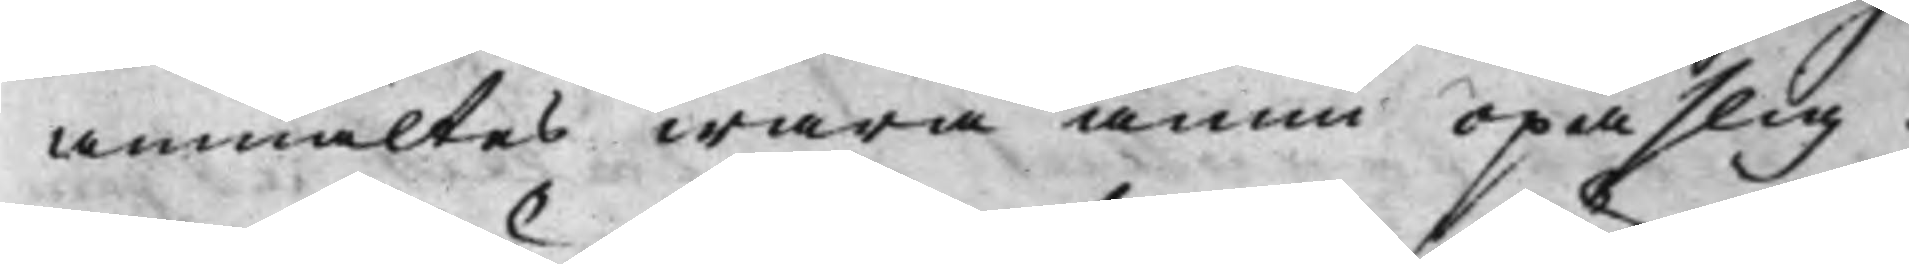anmältes wara ännu opaslig.
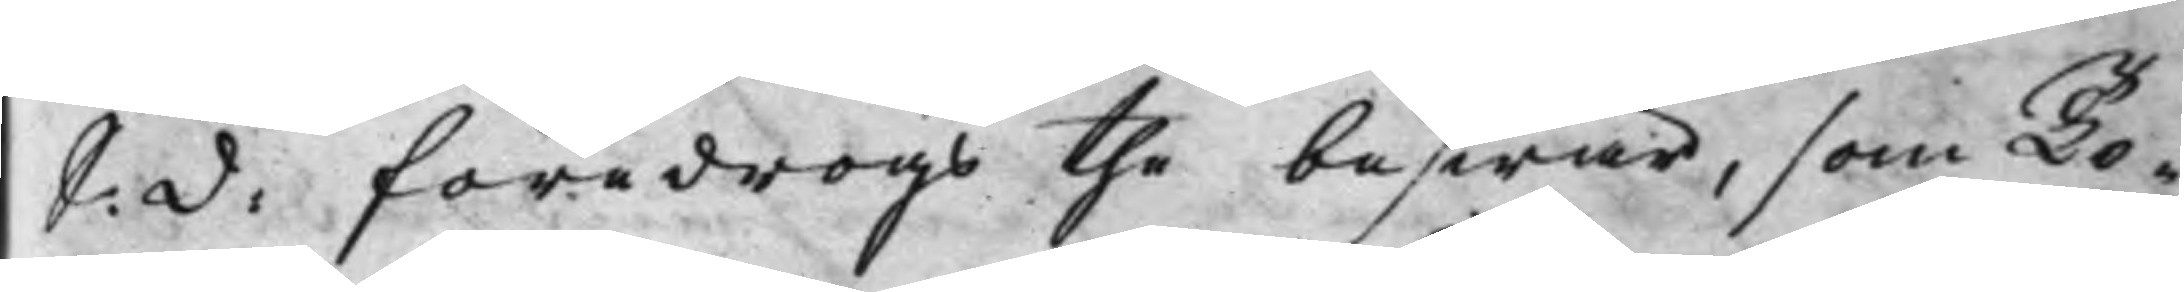S: d: föredrogs the beswär, som To¬ 
